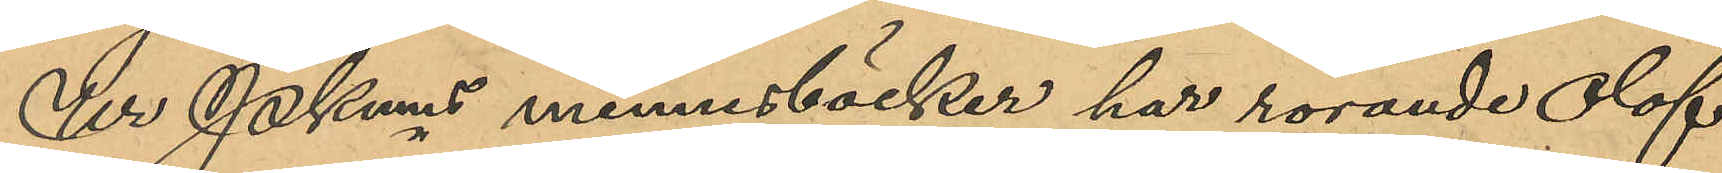Ur Pkms minnesböcker har rörande Olof
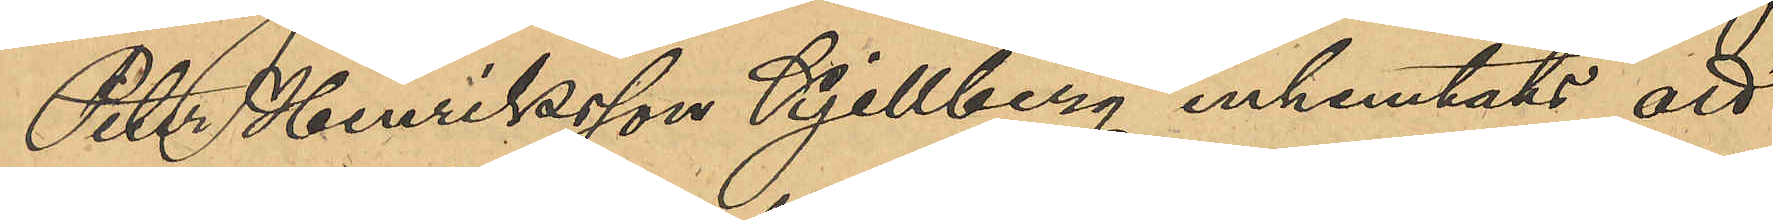Peter Henriksson Kjellberg inhemtat att
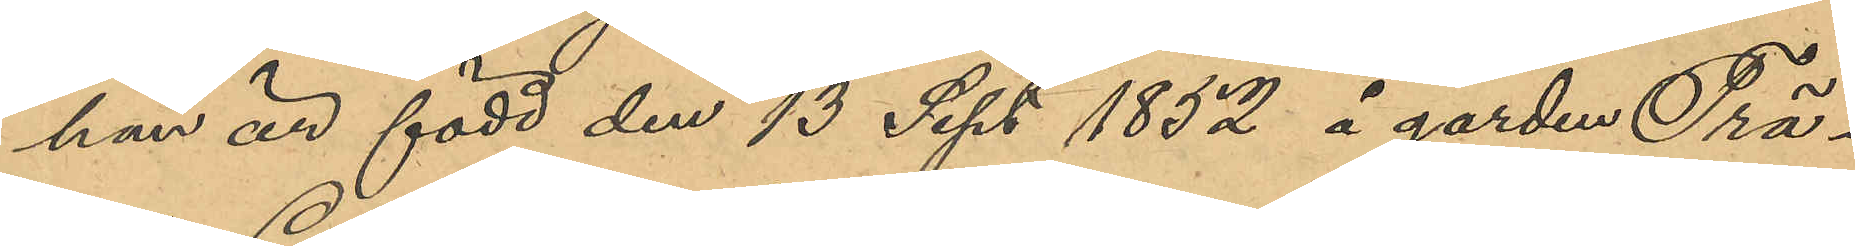han är född den 13 Sept 1852 å gården Trä¬
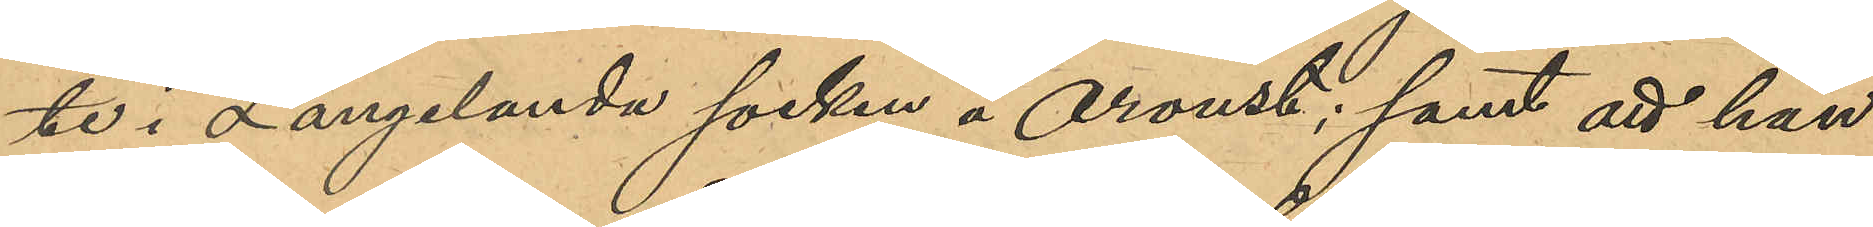te i Langelanda socken å Oroust; samt att han
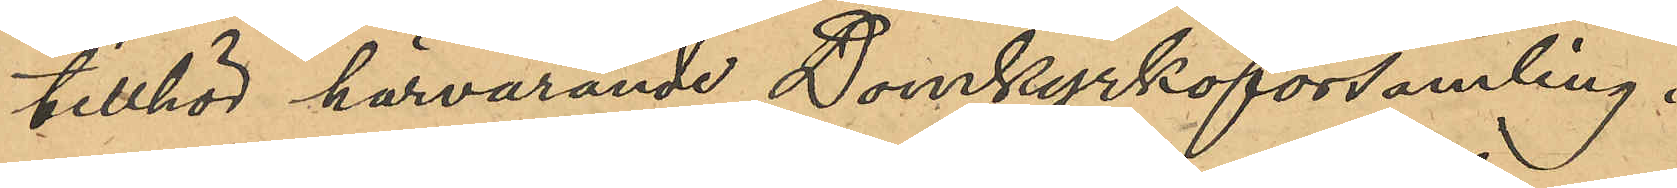tillhör härvarande Domkyrkoförsamling.
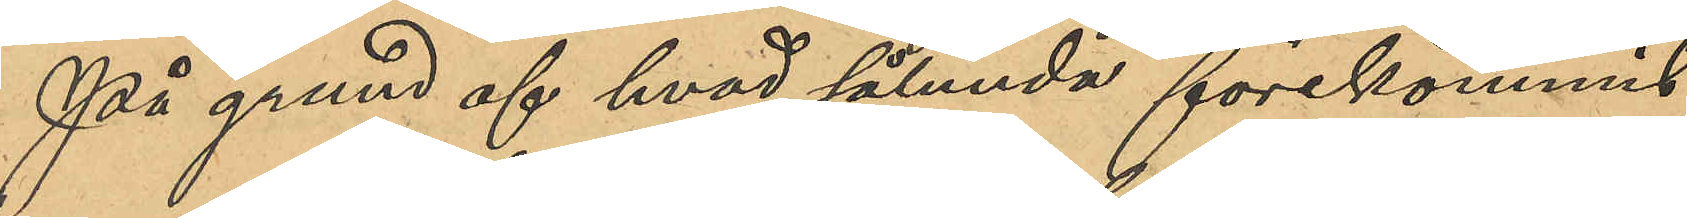På grund af hvad sålunda förekommit
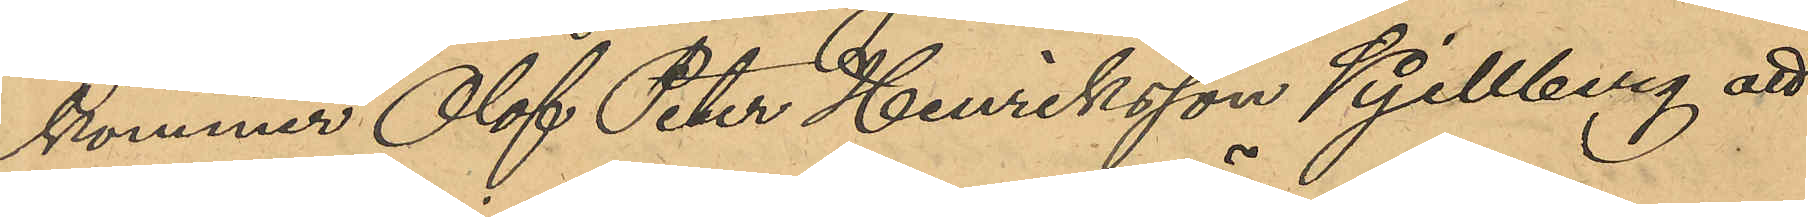kommer Olof Peter Henriksson Kjellberg att
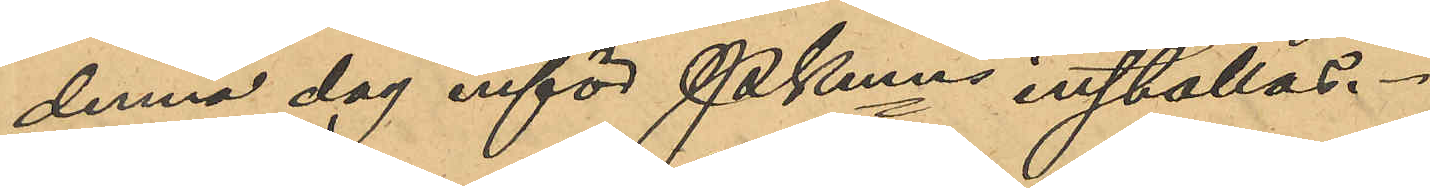denna dag inför Pkmen inställas.
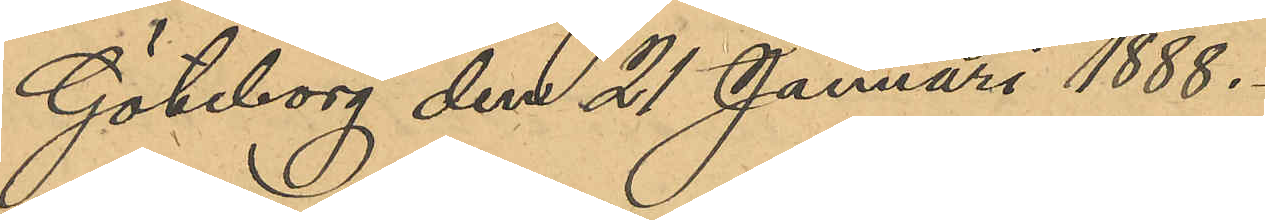Göteborg den 21 Januari 1888.
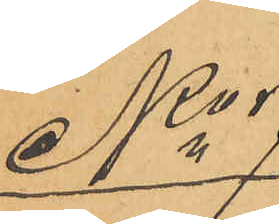No 7
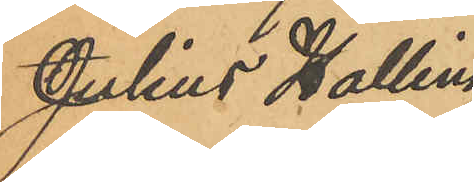Julius Halling 
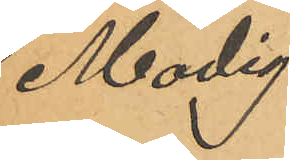Modig.
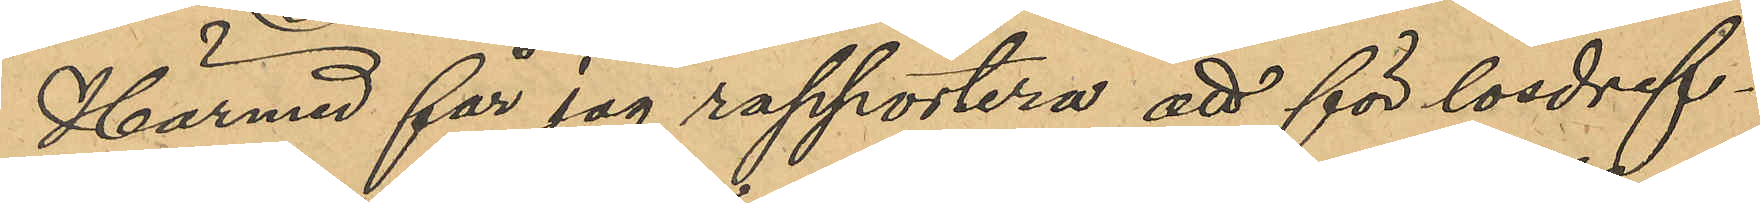Härmed får jag rapportera att för lösdrif¬
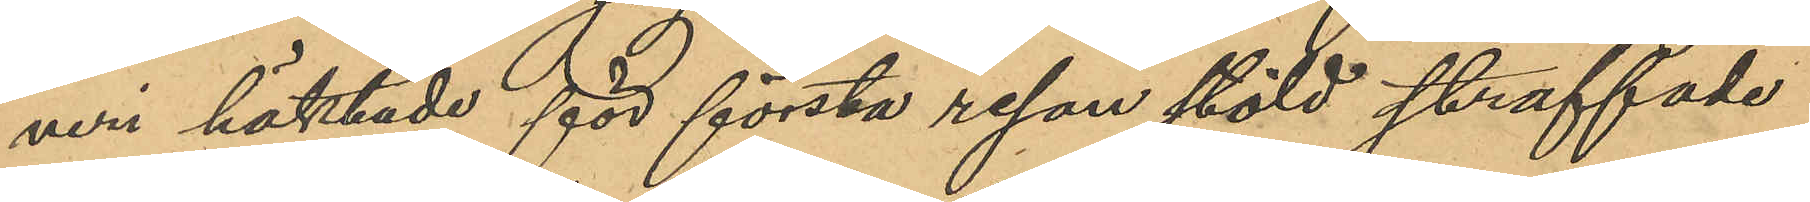veri häktade för första resan stöld straffade
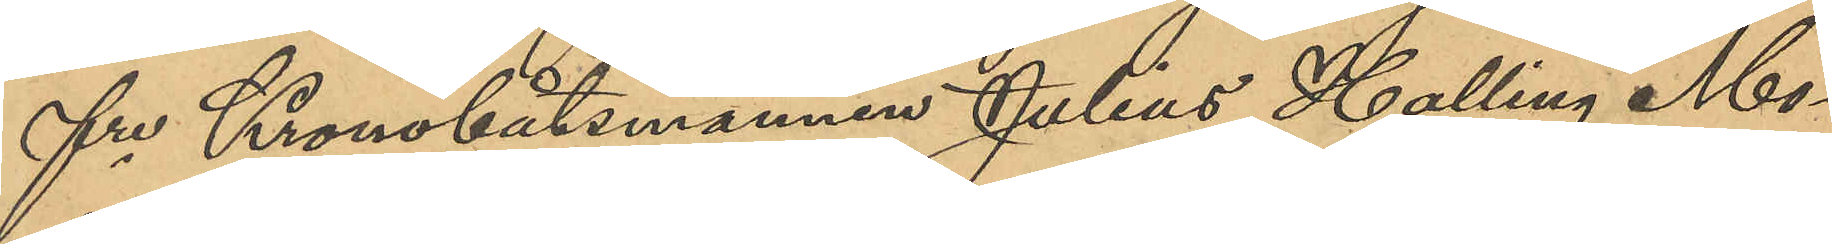fre Kronobåtsmannen Julius Halling Mo¬
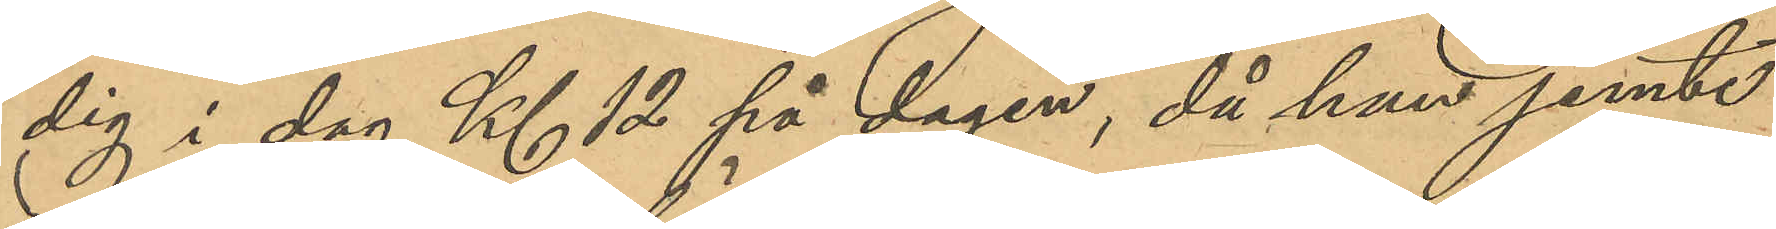dig i dag Kl 12 på dagen, då han jemte
